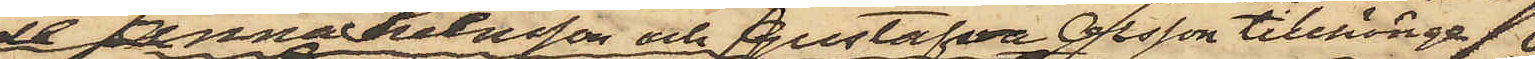de Anna Svensson och Gustafva Olsson tillhörige
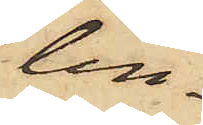lin¬
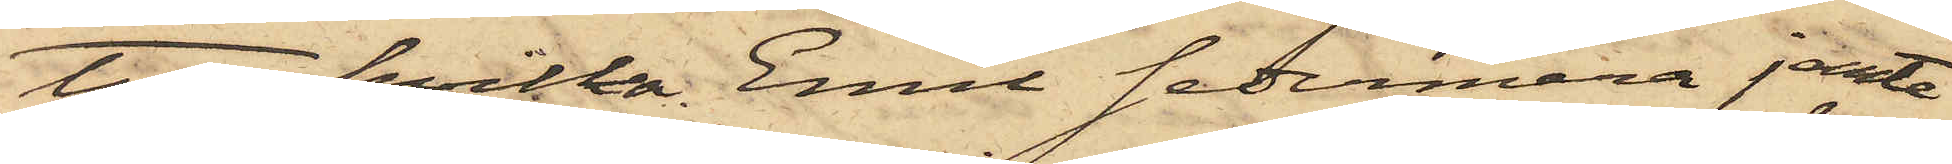tygen, hvilka Emil sedermera jemte
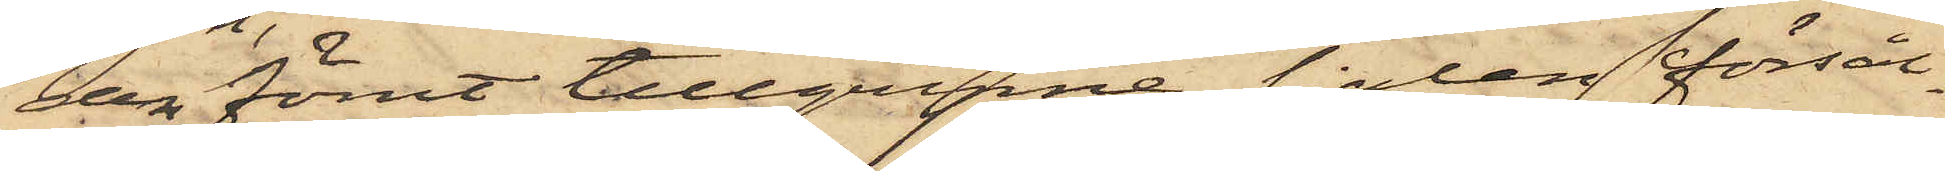den förut tillgripne sjalen försål¬
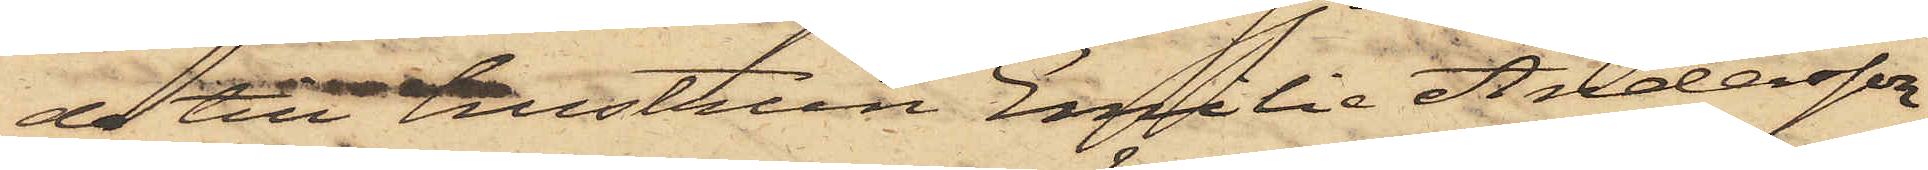de till hustrun Emilia Andersson,
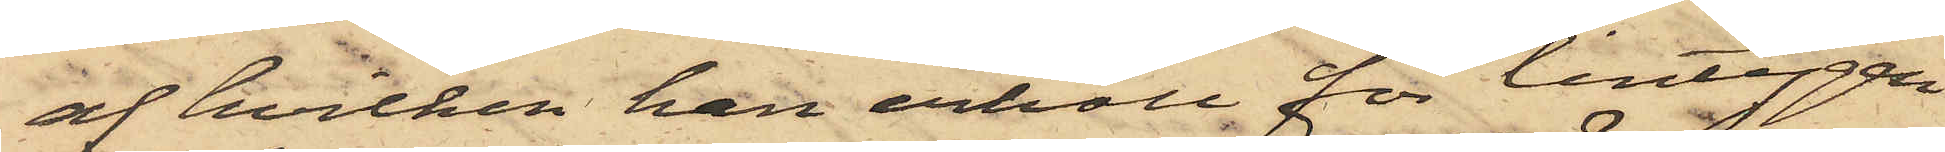af hvilken han erhöll för lintygen
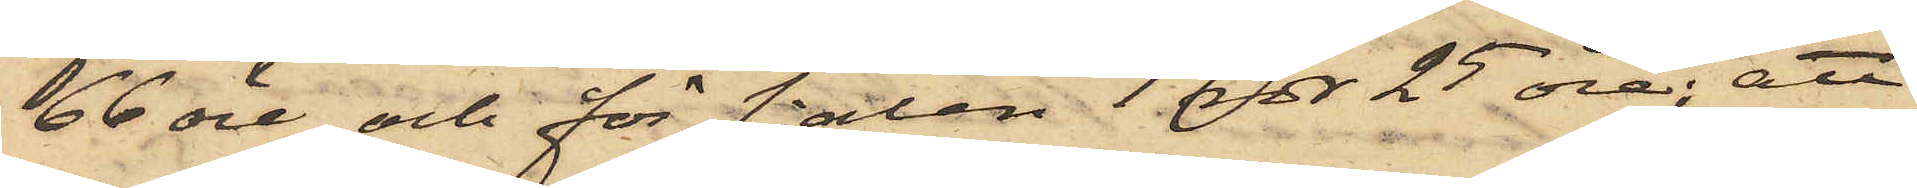66 öre och för sjalen 1 rdr 25 öre; att
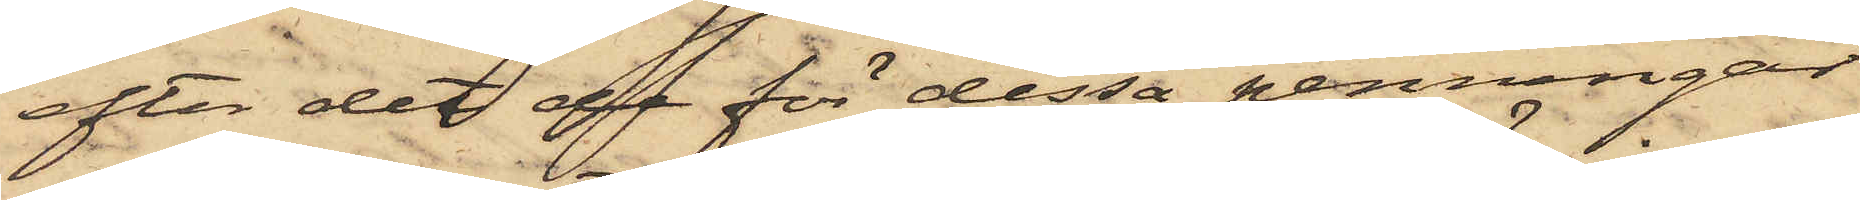efter det de för dessa penningar
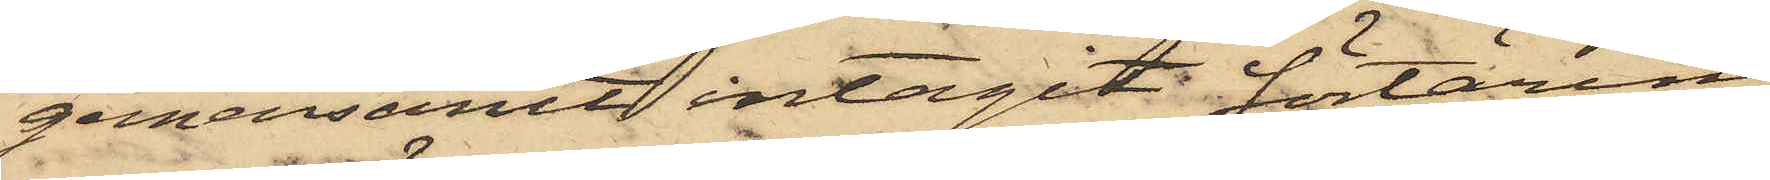gemensamt intagit förtäring;
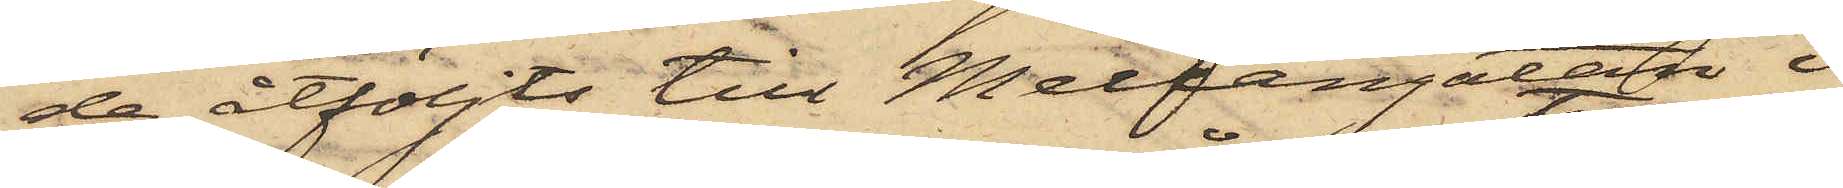de åtföljts till Mellangatan i
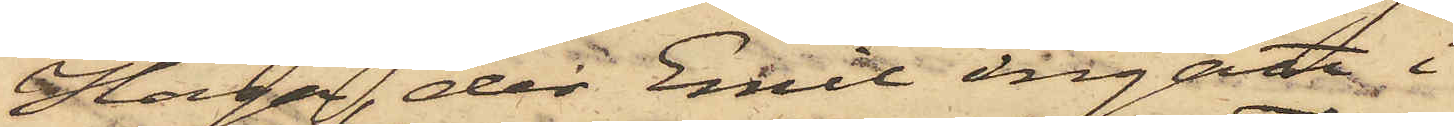Haga, der Emil ingått i
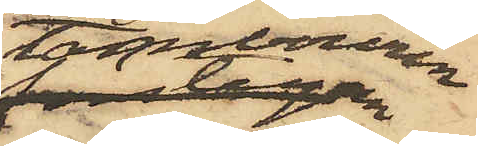Tambouren
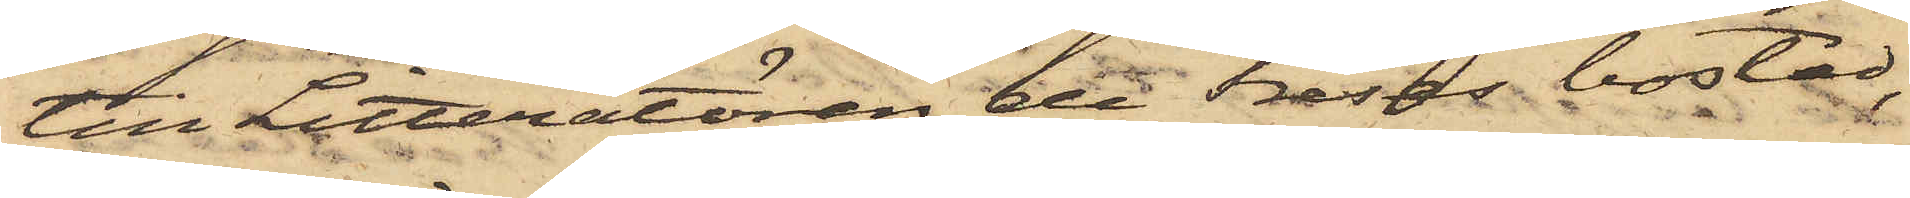till Litteratören de Freses bostad,
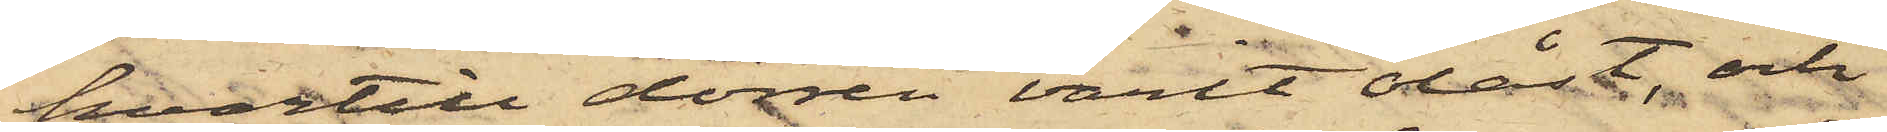hvartill dörren varit olåst, och
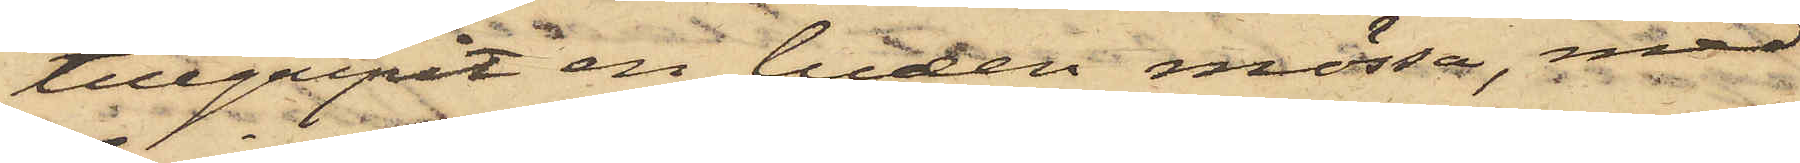tillgripit en luden mössa, med
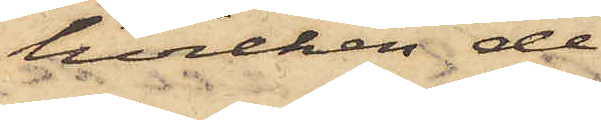hvilken de
